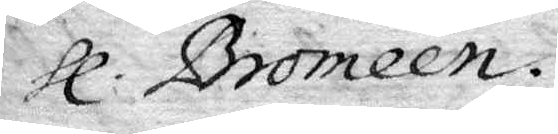Hl. Bromeén.
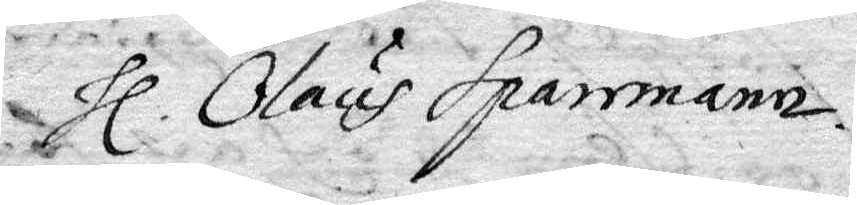Hl. Olus Sparrmann.
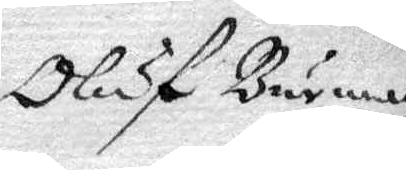Oluf Burman
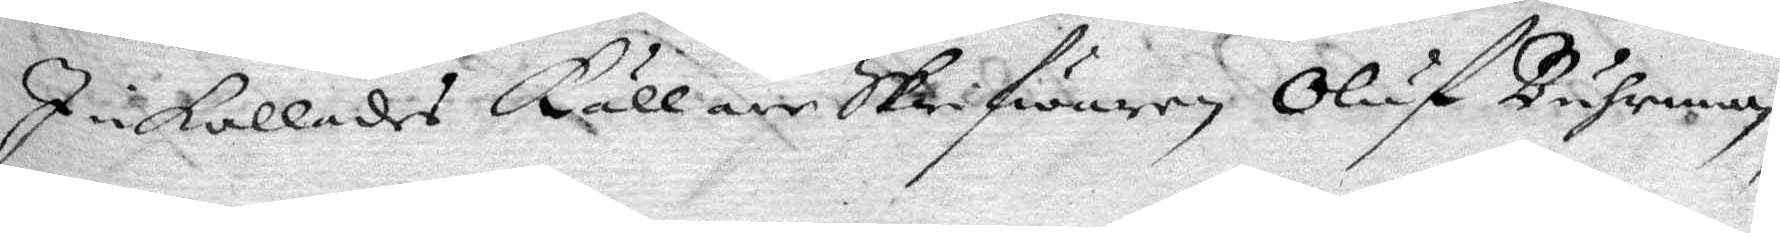Inkallades källarskrifwaren Oluf Buhrman,
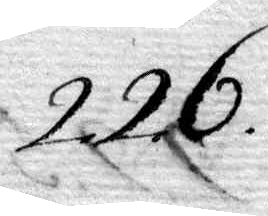226.
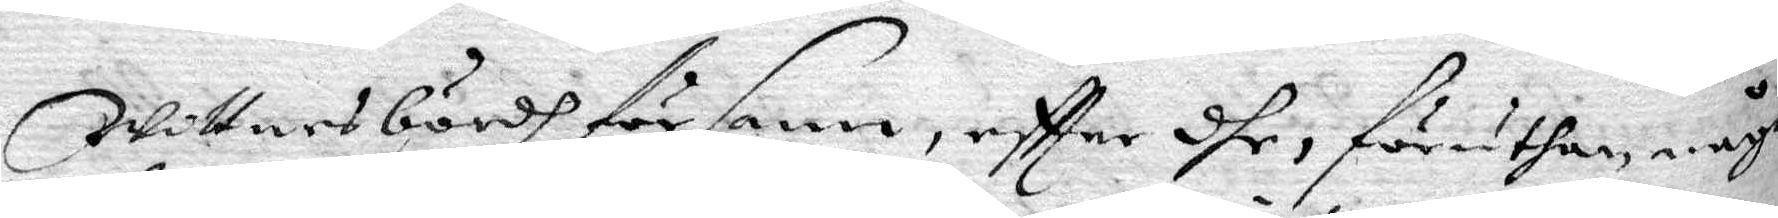Wittnesbördh för sann, eftter dhe, föruthan någre
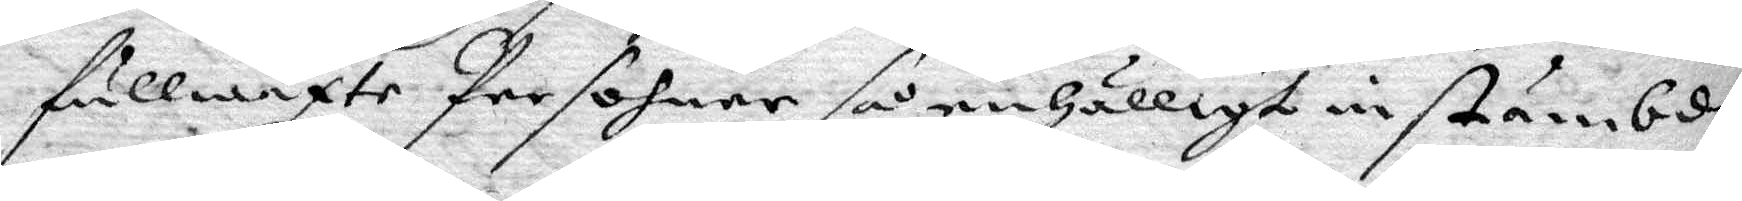fullwäxte Persohner så enhälligt instämbde,
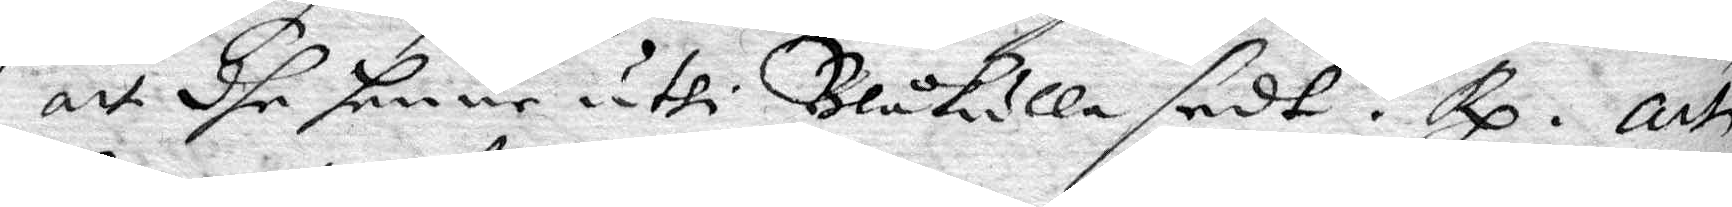att dhe henne uthi Blåkulla sedt? Rp. att
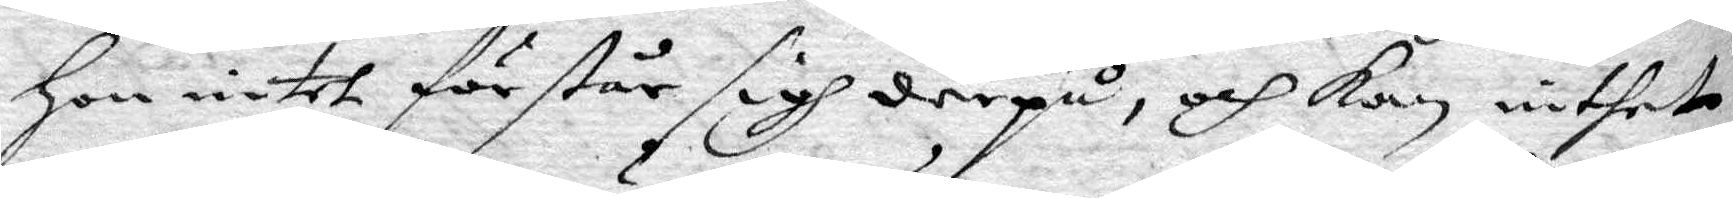hon intet förstår sigh derpå, och kan inthet
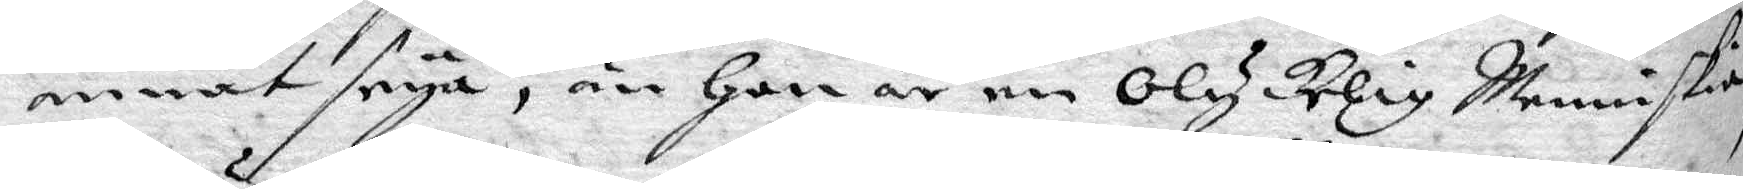annat seya, än hon en Olycklig Menniskia
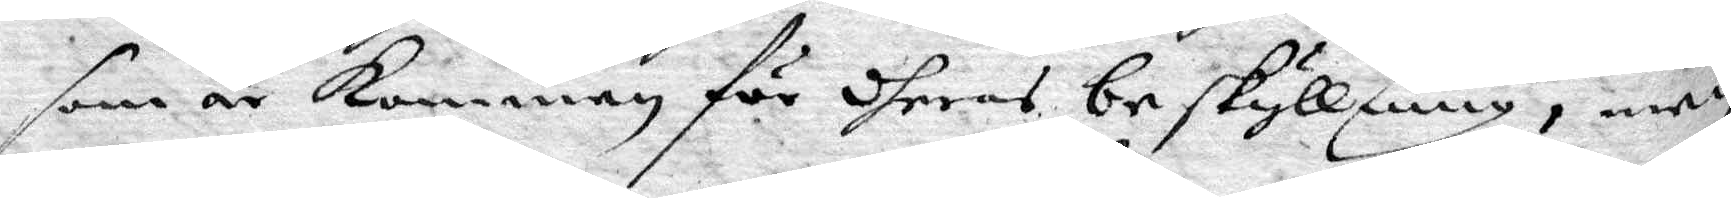som är kommen för dheras beskyllning, men
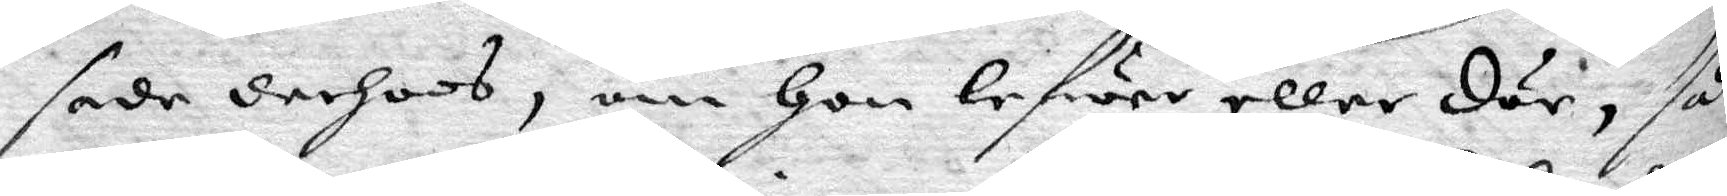sade derhoos, om hon lefwer eller dör, så
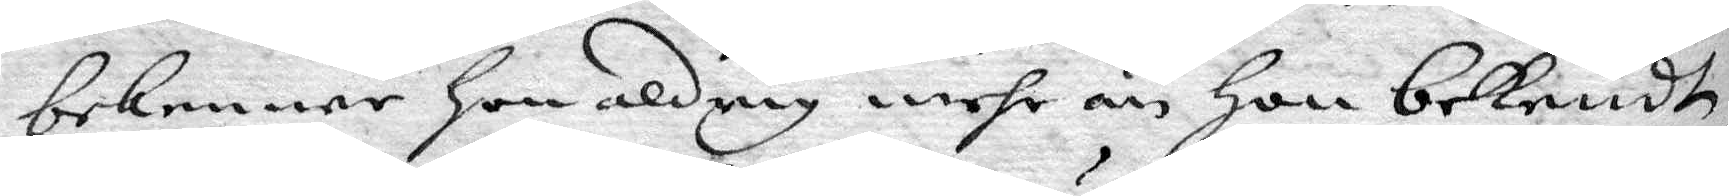bekenner hon aldrig mehr än hon bekendt,
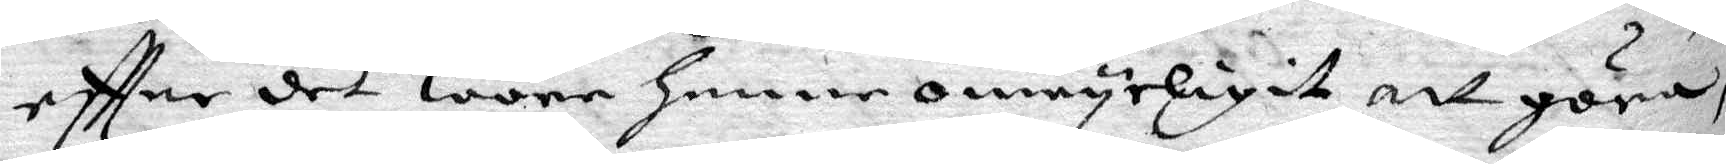eftter det wore henne omöyeligit att göra,
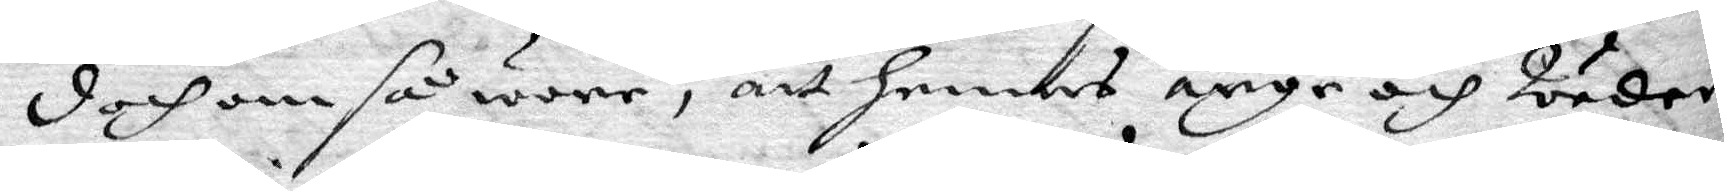doch om så wore, att hennes arge och Weder¬
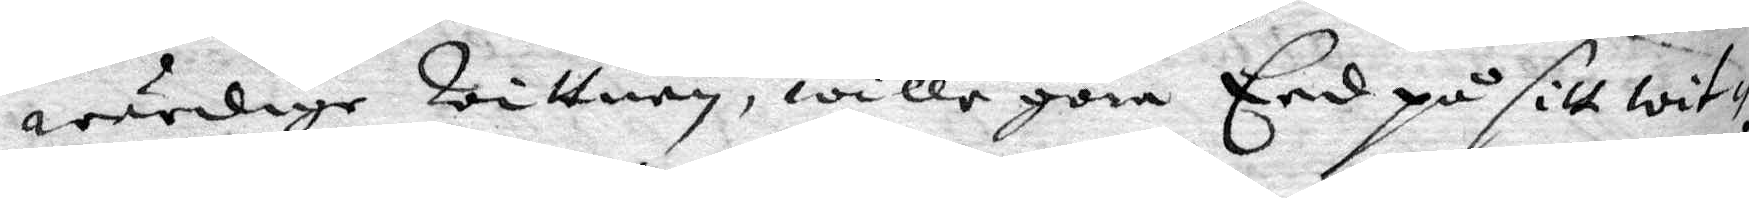wärdige Wittnen, wille göra Eed på sitt wit¬
